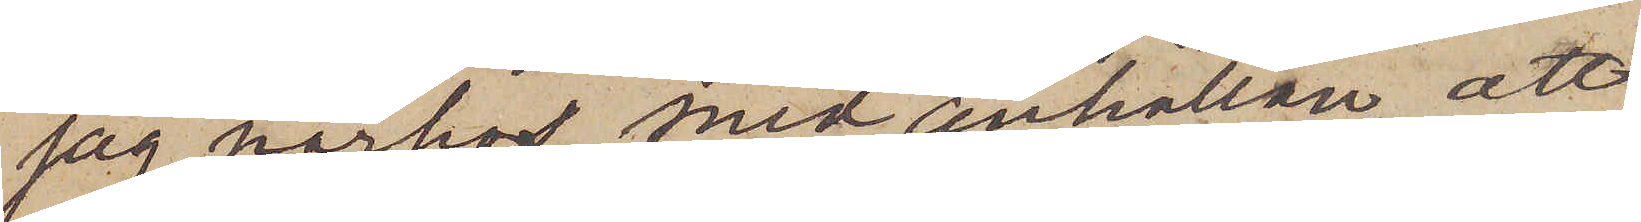jag härhos med anhållan att,
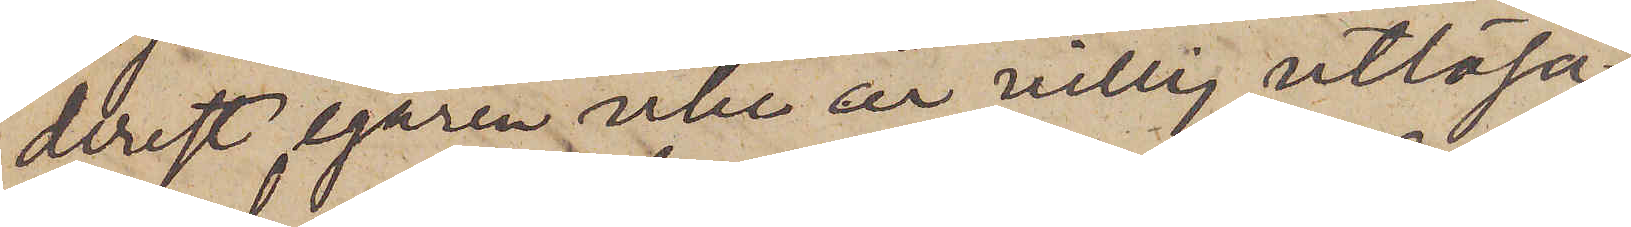derest egaren icke är villig utlösa
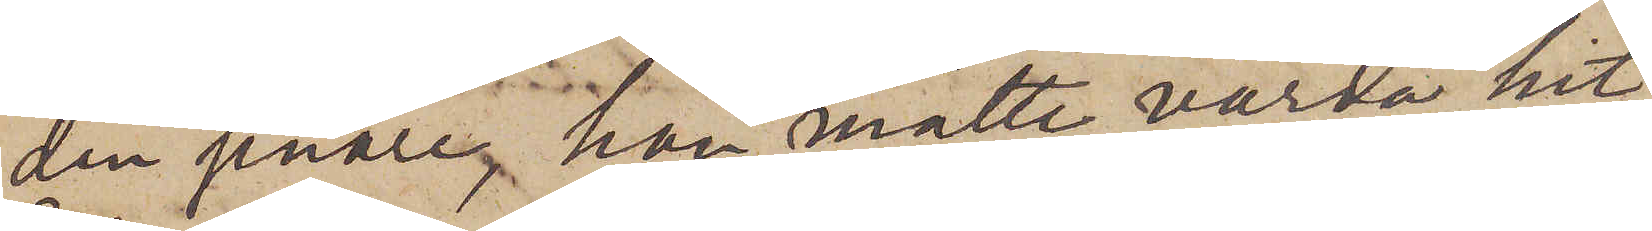den senare, han måtte varda hit
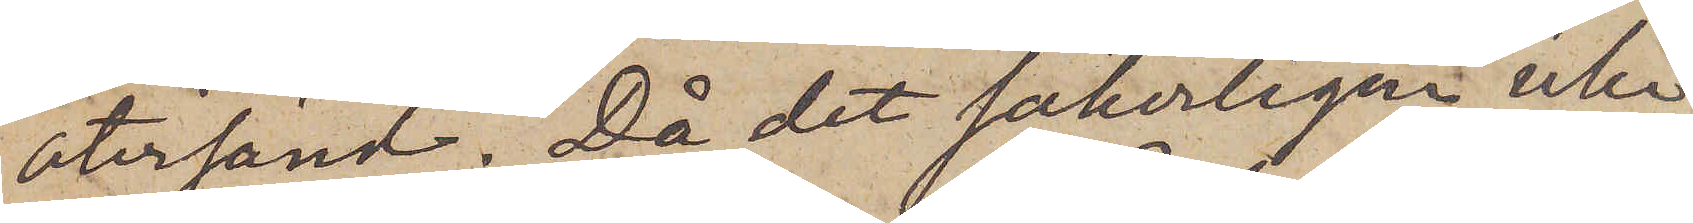återsänd. Då det säkerligen icke
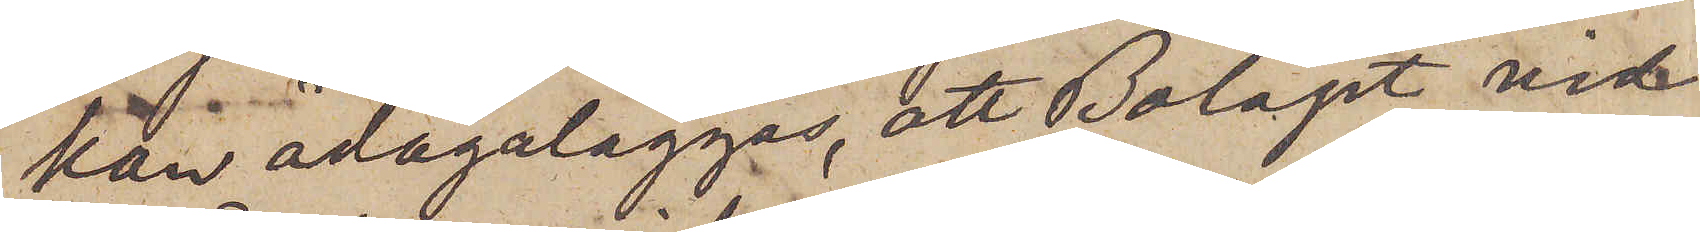kan ådagsläggas, att Bolaget vid
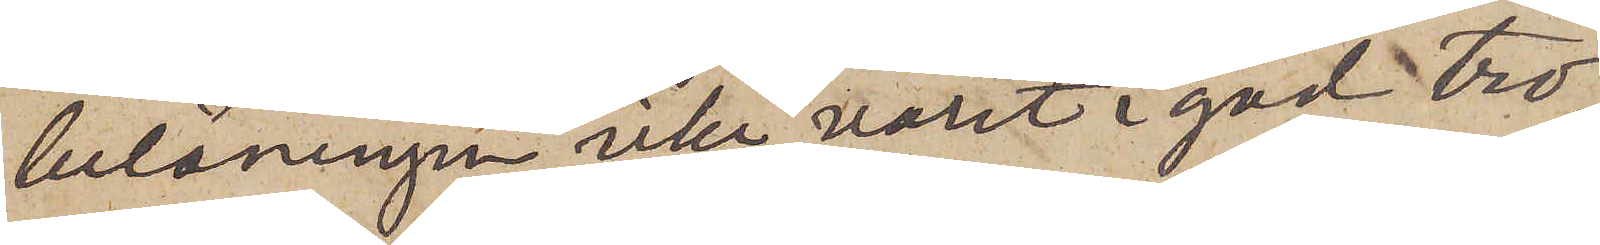belåningen icke varit i god tro,
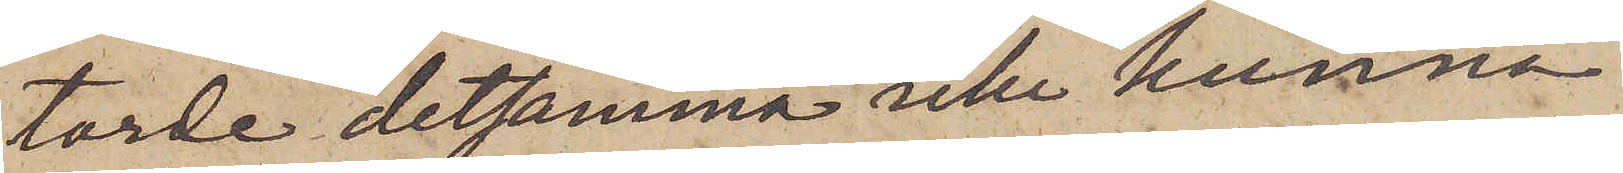torde detsamma icke kunna
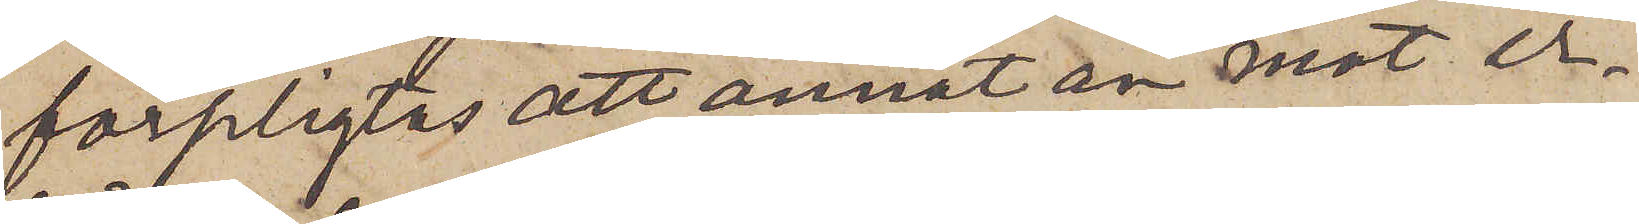förpligtas att annat än mot er¬
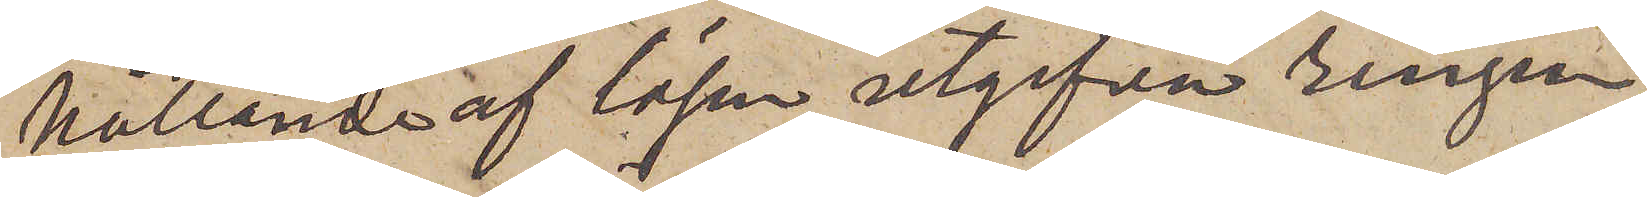hållande af lösen utgifva ringen,
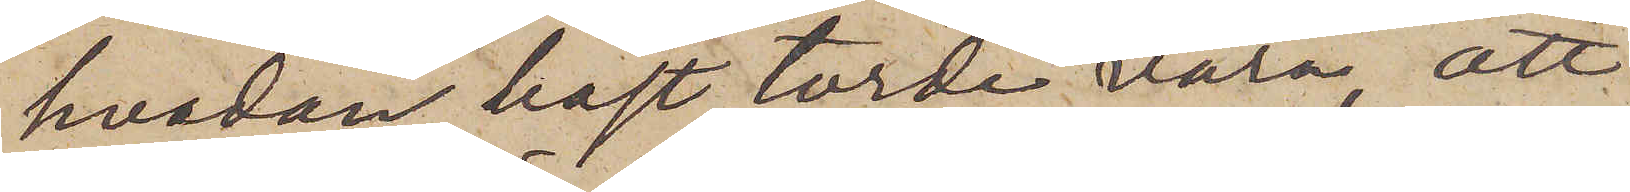hvadan bäst torde vara, att
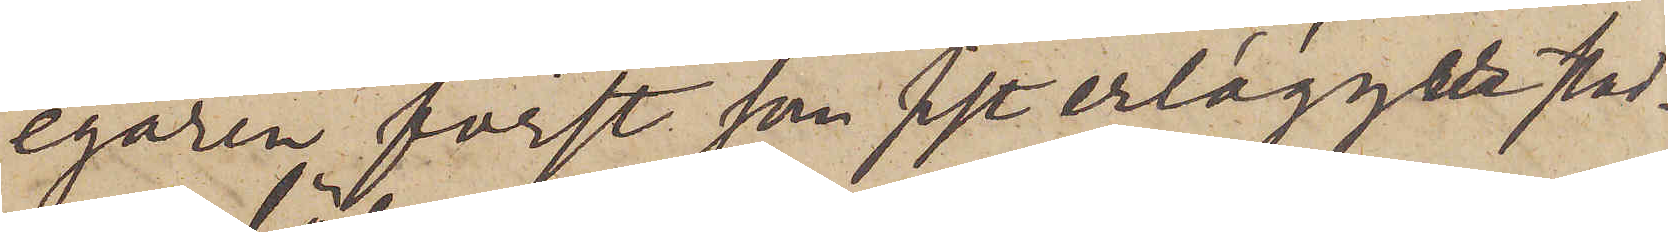egaren först som sist erlägger stad¬
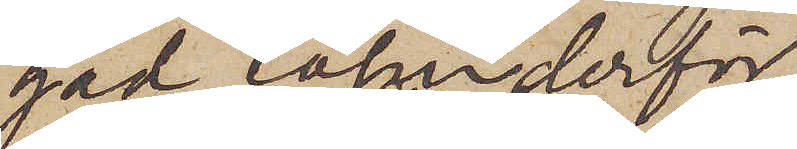gad lösen derför.
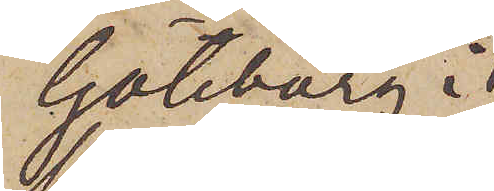Göteborg i
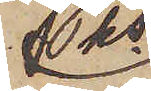Pks
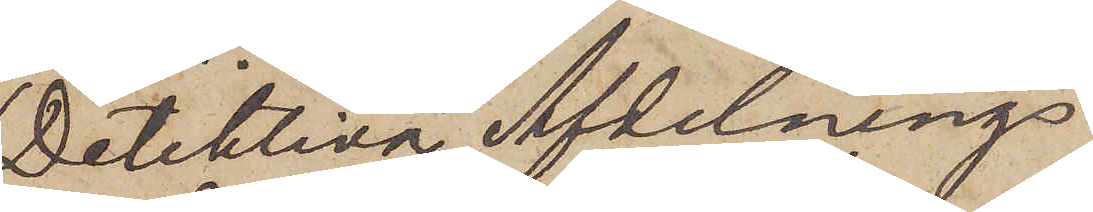Detektiva Afdelnings
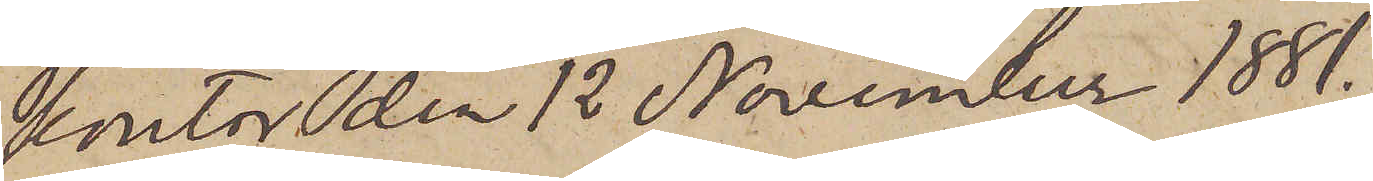kontor den 12 November 1881.
